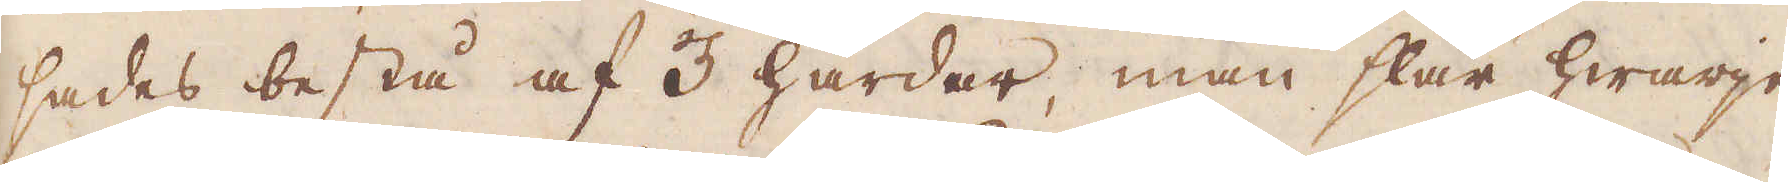sades bestå af 3 härdar, man slår hwarje
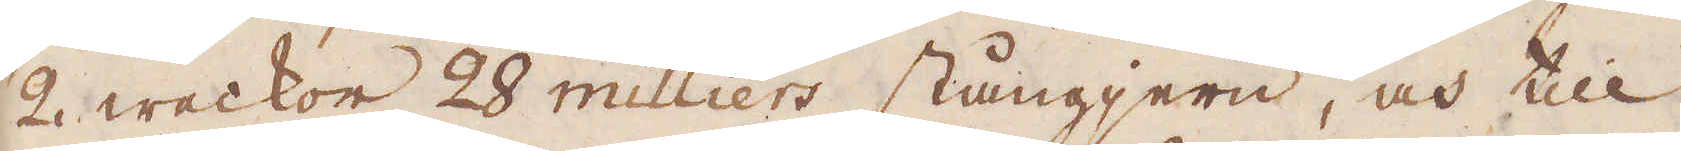2 weckor 28 milliers stångjern, och till
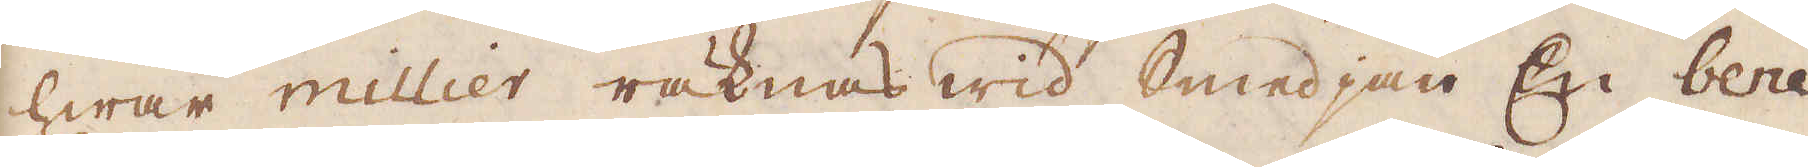hwar millier räknas wid Smedjan En bene
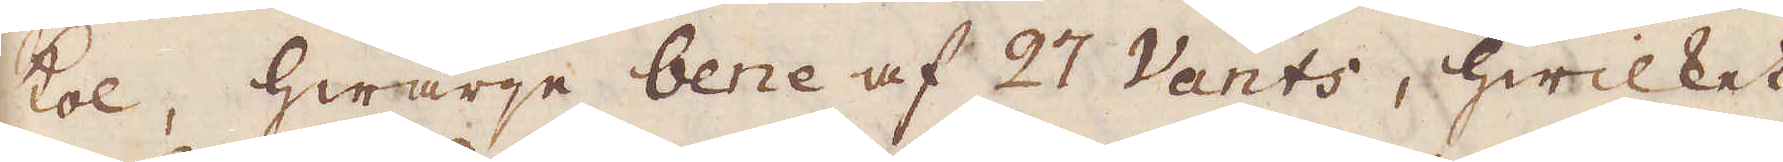kol, hwarje bene af 27 Vants, hwilket
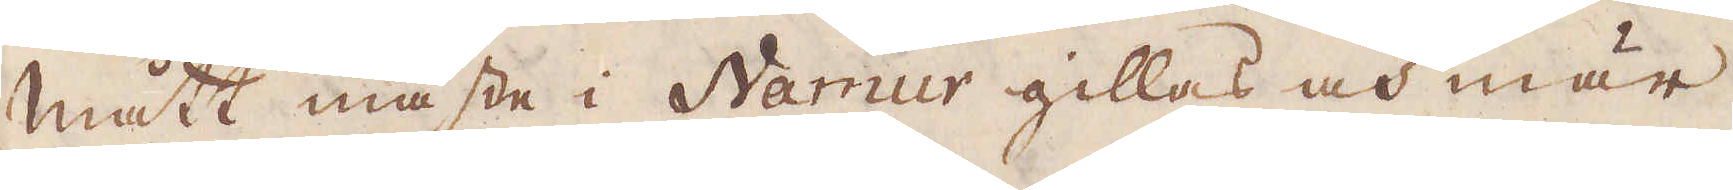mått måste i Namur gillas och mär-
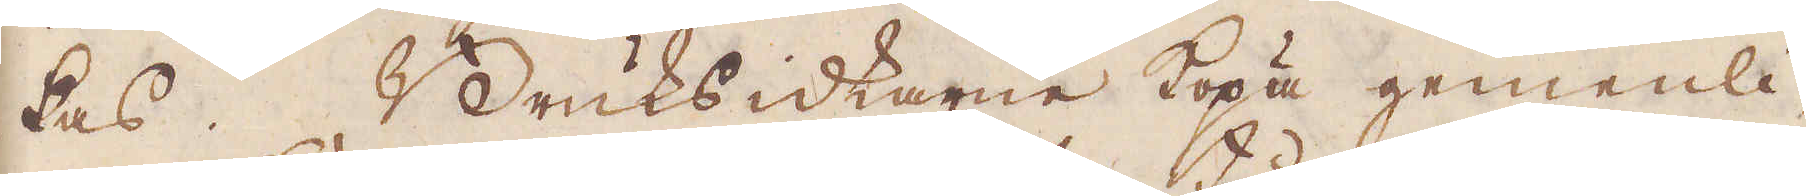kas. Bruksidkarne köpa gemenli-
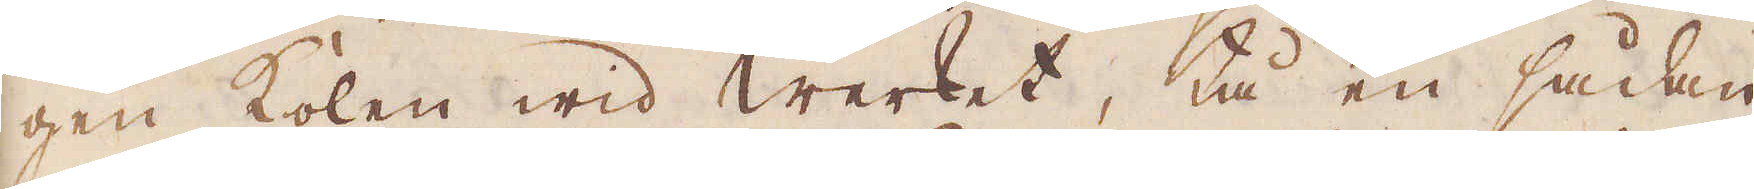gen kolen wid Werket, tå en sådan
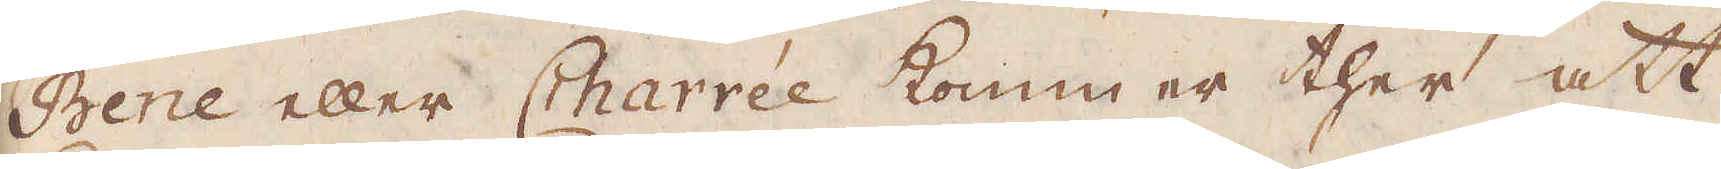Bene eller Charrée kommer ther att
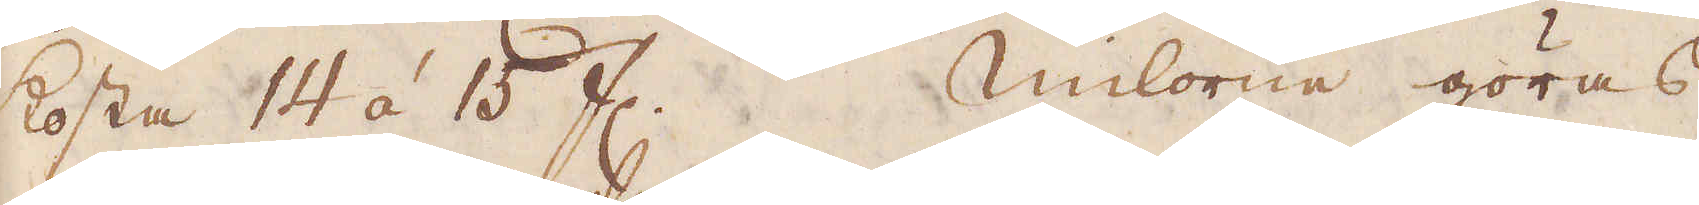kosta 14 á 15 fl. Milorne göras
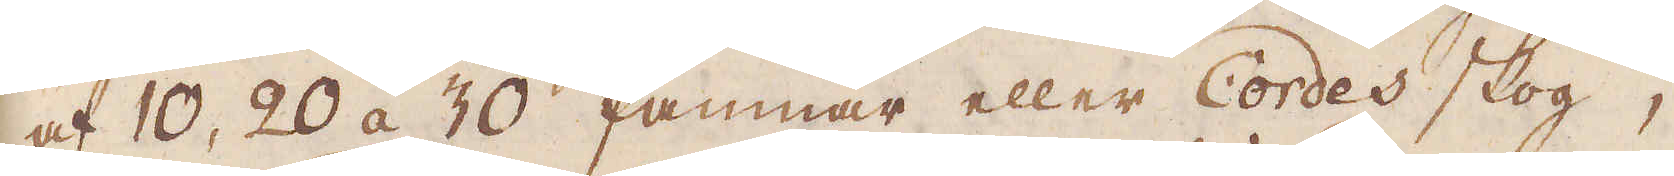af 10, 20 á 30 famnar eller Cordes skog;
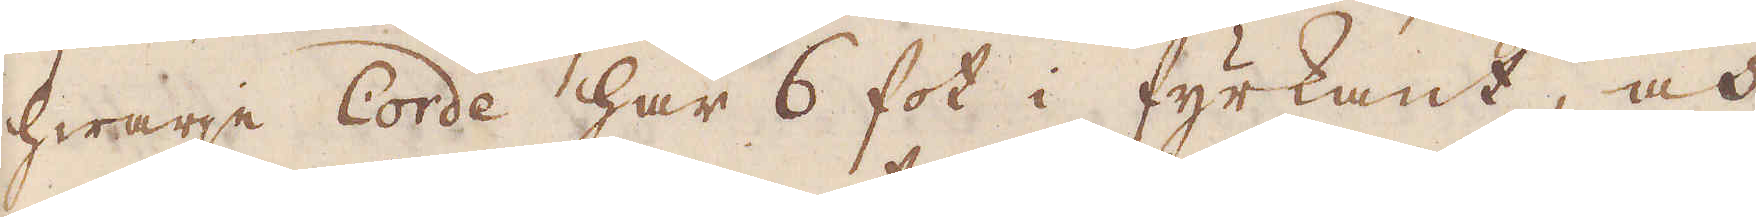hwarje Corde har 6 fot i fyrkant, och
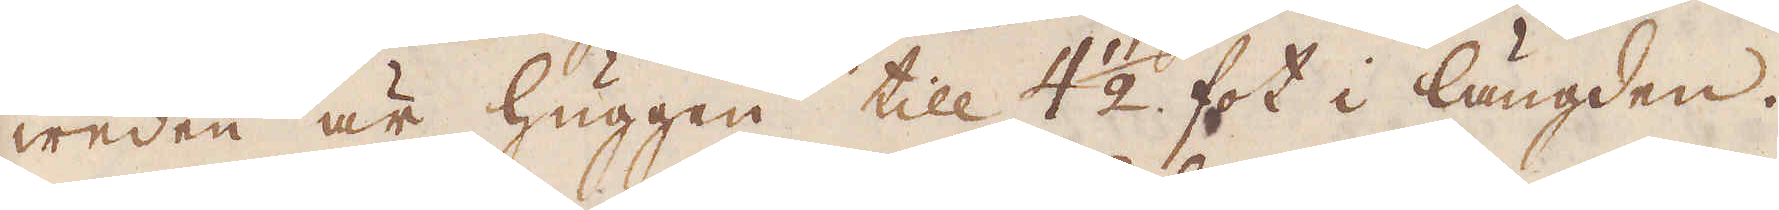weden är huggen till 4 1/2 fot i längden.
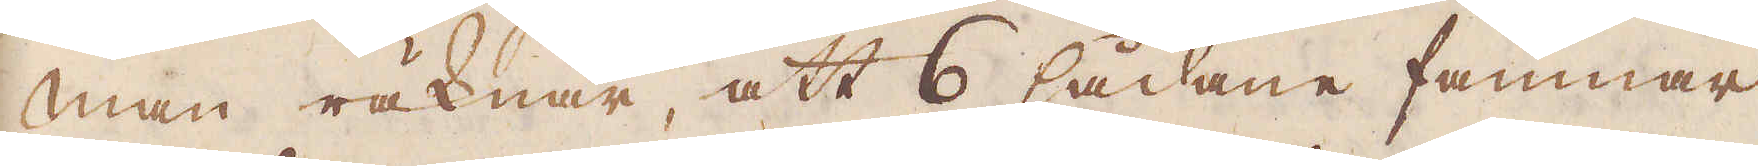Man räknar, att 6 sådane famnar
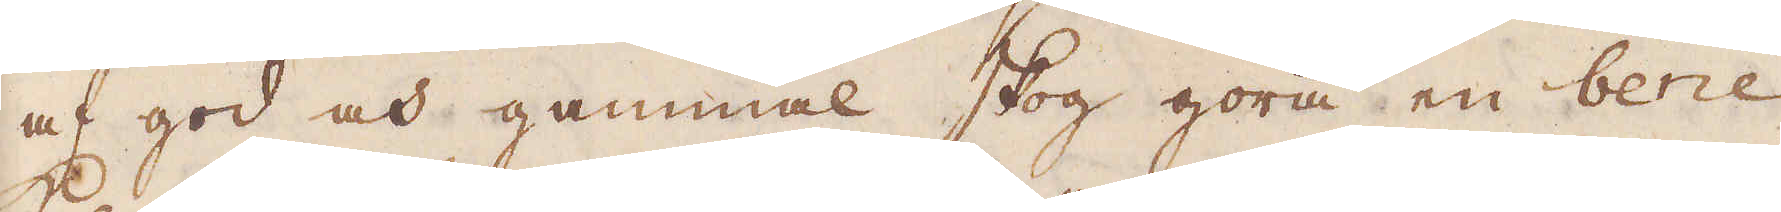af god gammal skog göra en bene
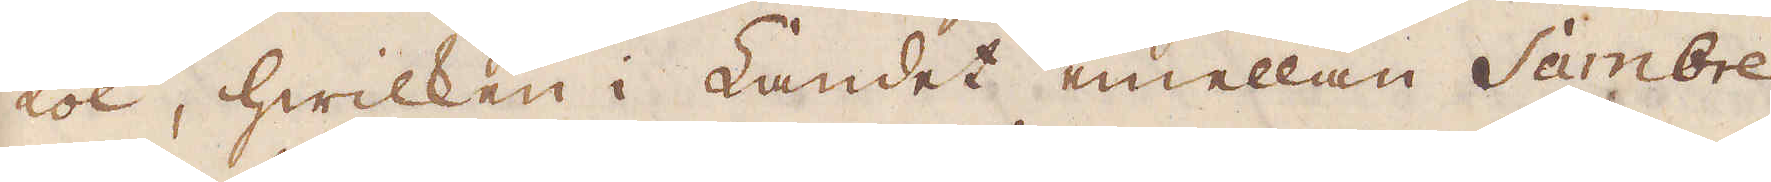kol, hwilken i Landet emellan Sambre
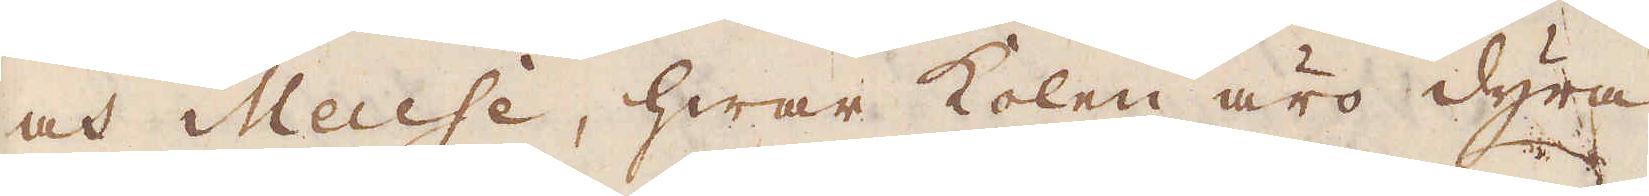och Meuse, hwar kolen äro dyra,
